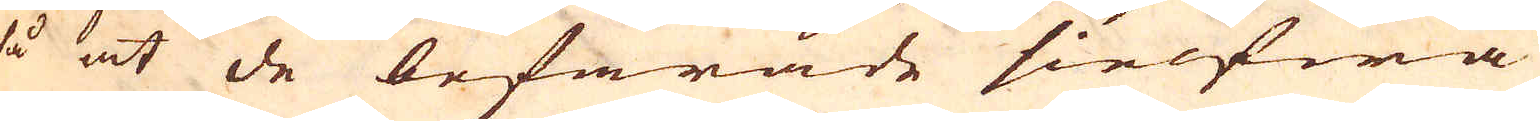så at de befarade sielfwa
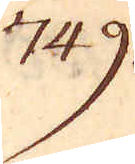749.
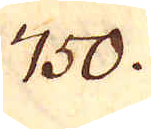750.
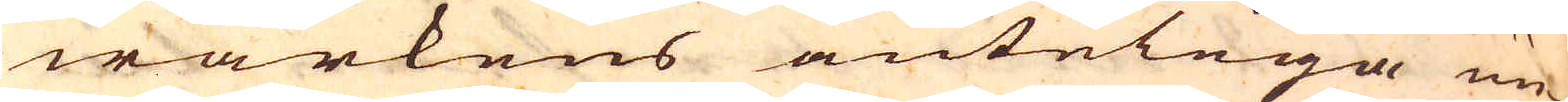wärkens änteliga un-
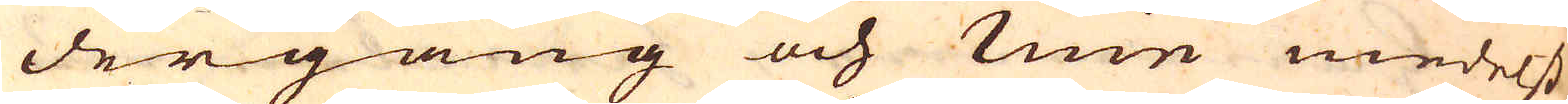dergång och min medelst
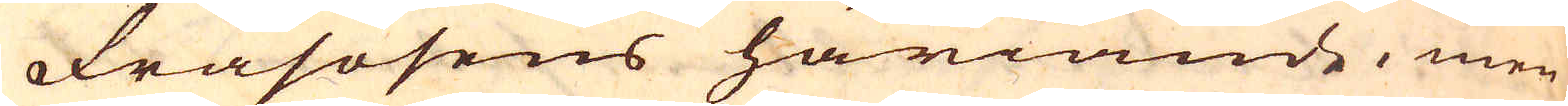Frasosens häriande, men
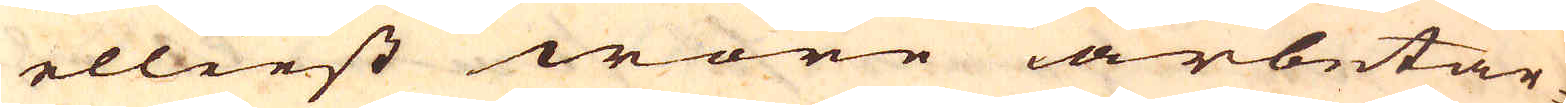elliest wore arbetar-
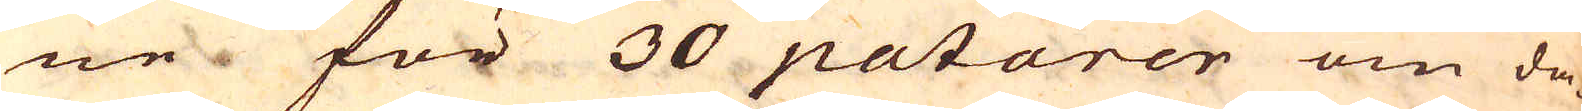ne för 30 patarer om da-
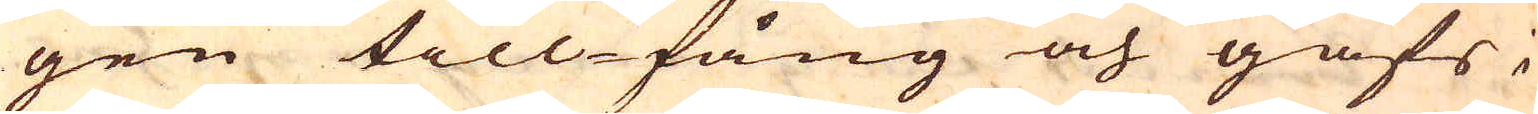gen till-fång och gafs i
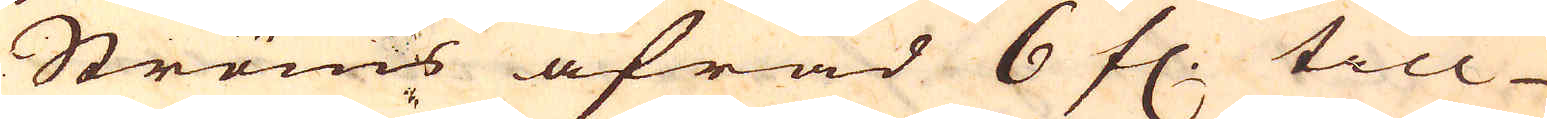Ströms afrad 6 fl. till
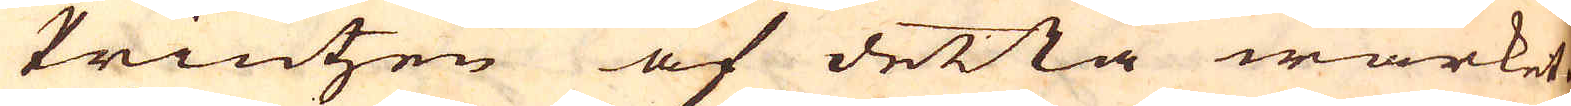Printzen af detta wärket.
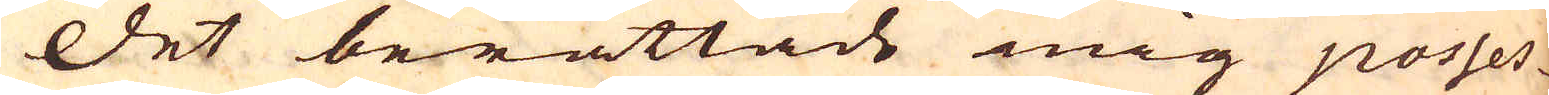Det berättade mig posses-
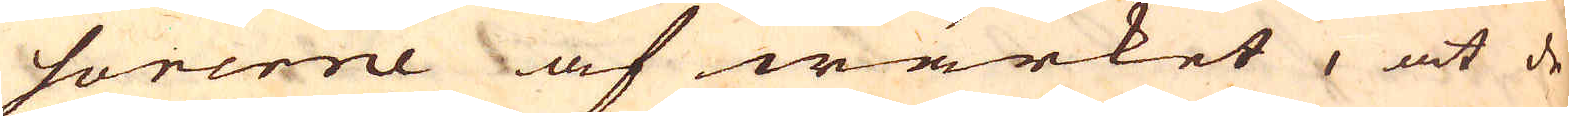sorerne af wärket, at de
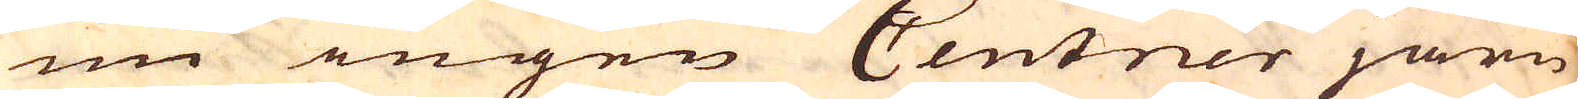nu ingen Centner järn
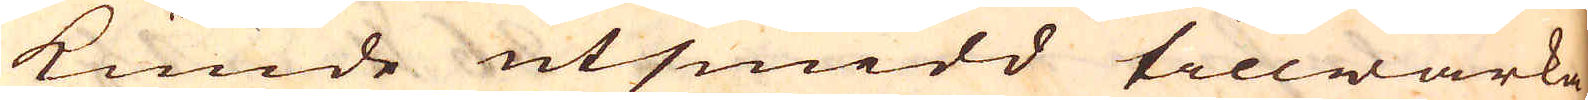kunde utsmidd tillwärka
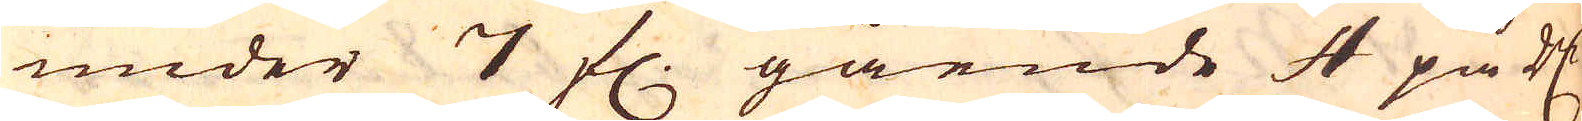under 7 fl. gående 4 på R:dr
